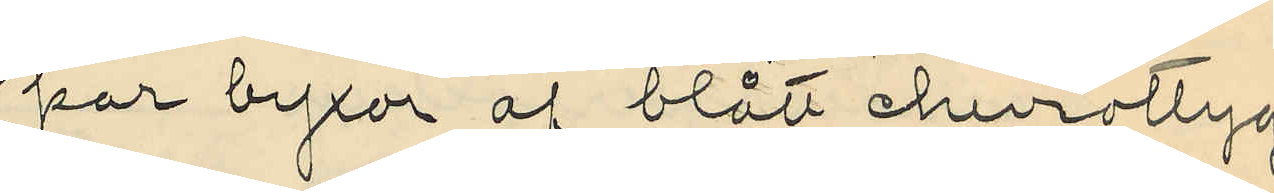par byxor af blått cheviottyg
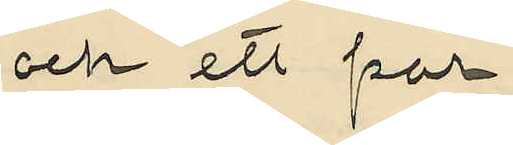och ett par
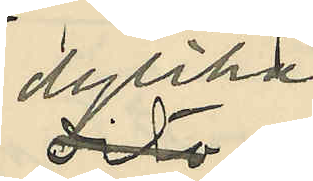dylika
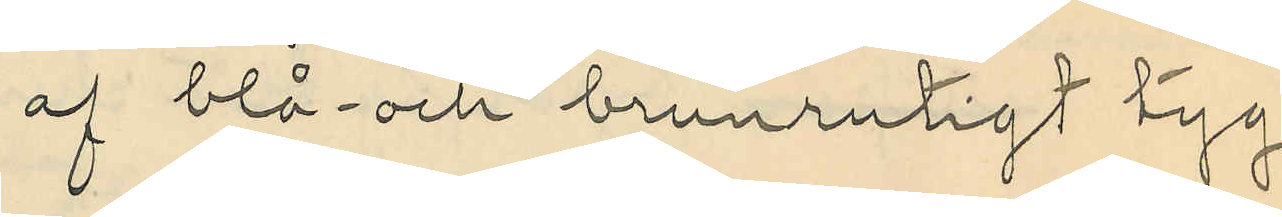af blå- och brunrutigt tyg,
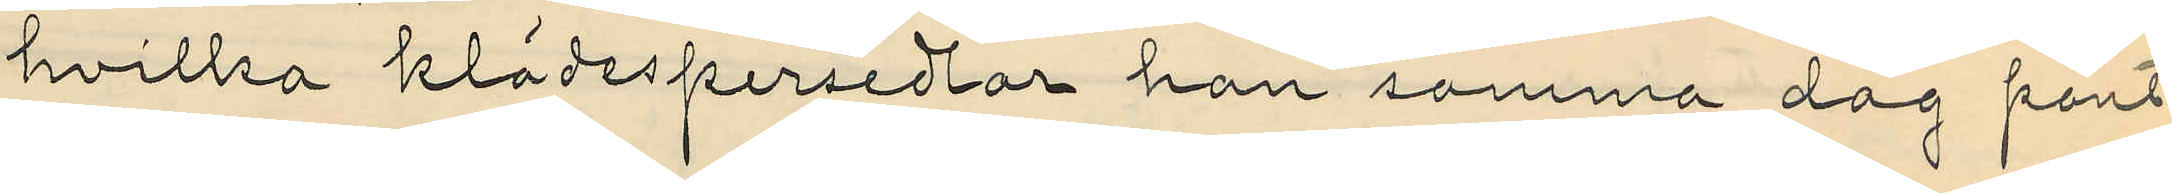hvilka klädespersedlar han samma dag pant¬
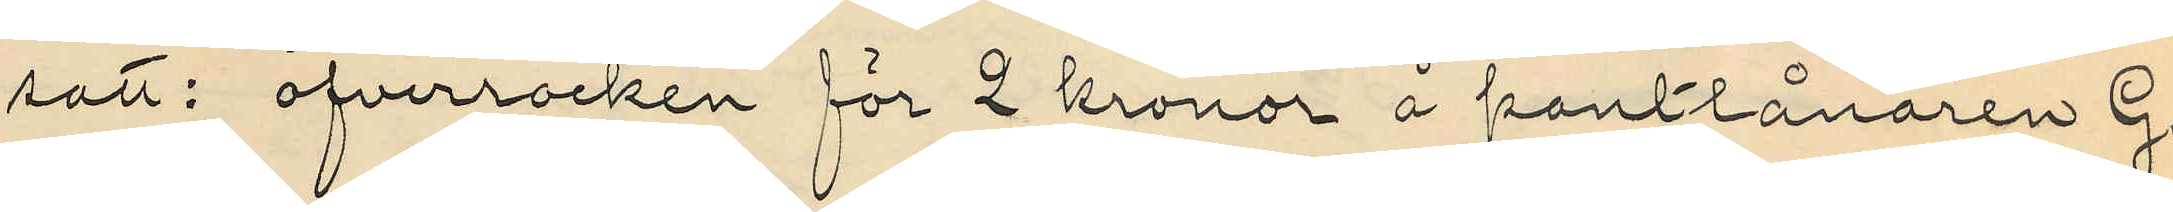satt: öfverrocken för 2 kronor å pantlånaren G.
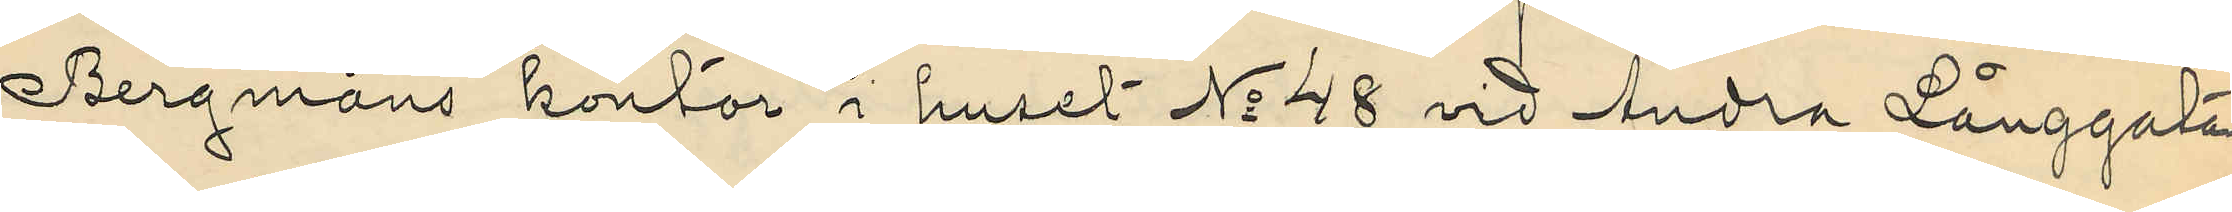Bergmans kontor i huset No 48 vid Andra Långgatan
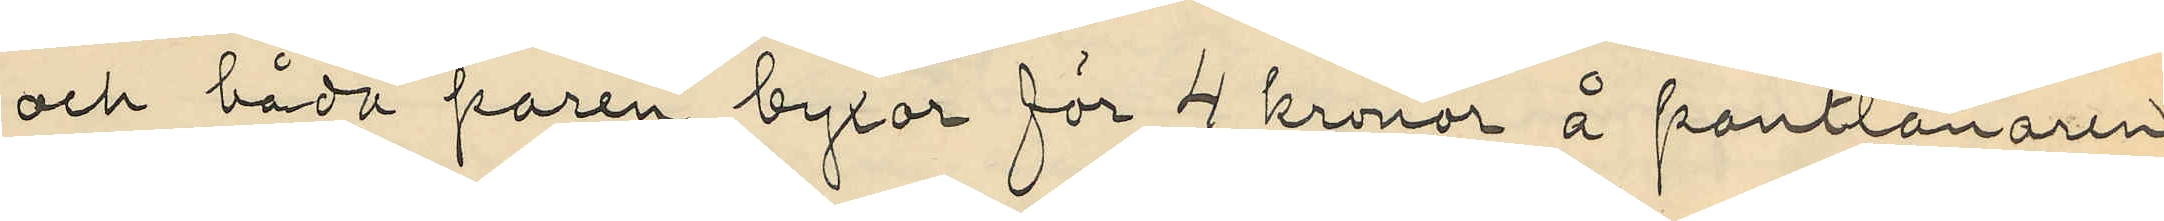och båda paren byxor för 4 kronor å pantlånaren
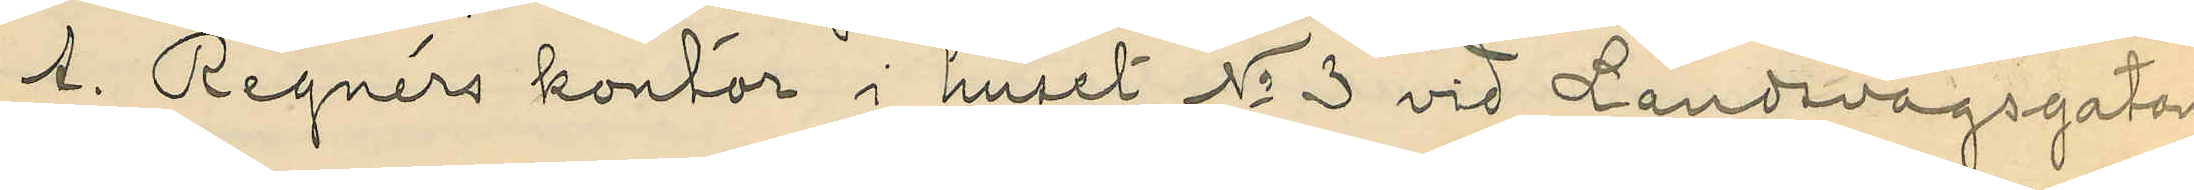A. Rignérs kontor i huset No 3 vid Landsvägsgatan
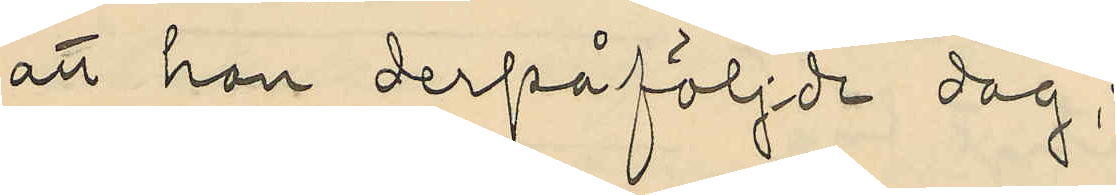att han derpåföljde dag,
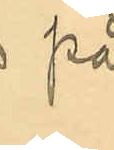på
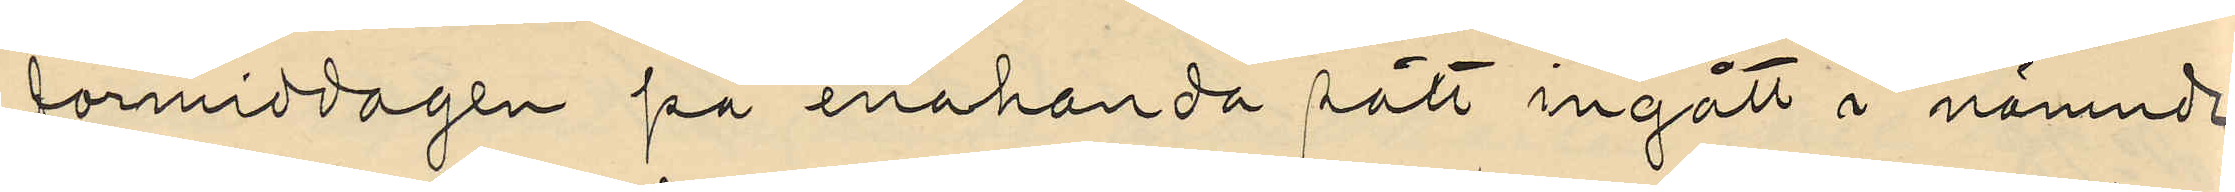förmiddagen på enahanda sätt ingått i nämnde
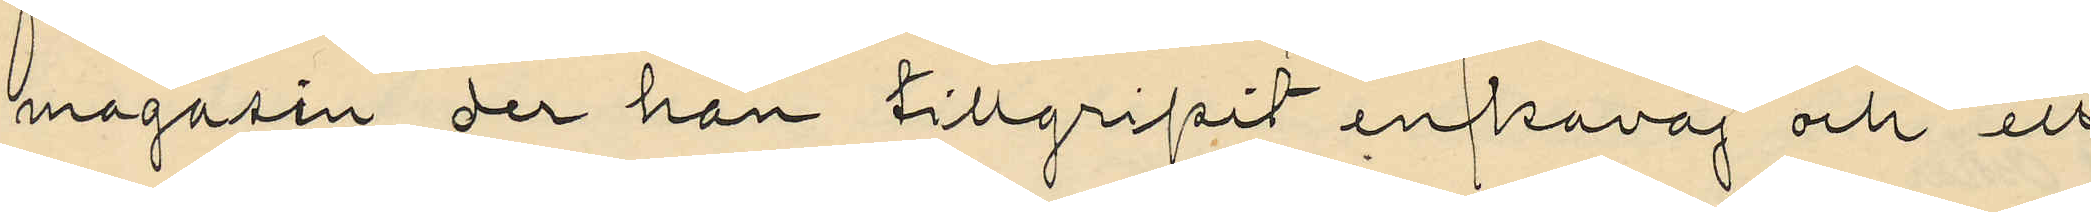magasin , der han tillgripit en kavaj och ett
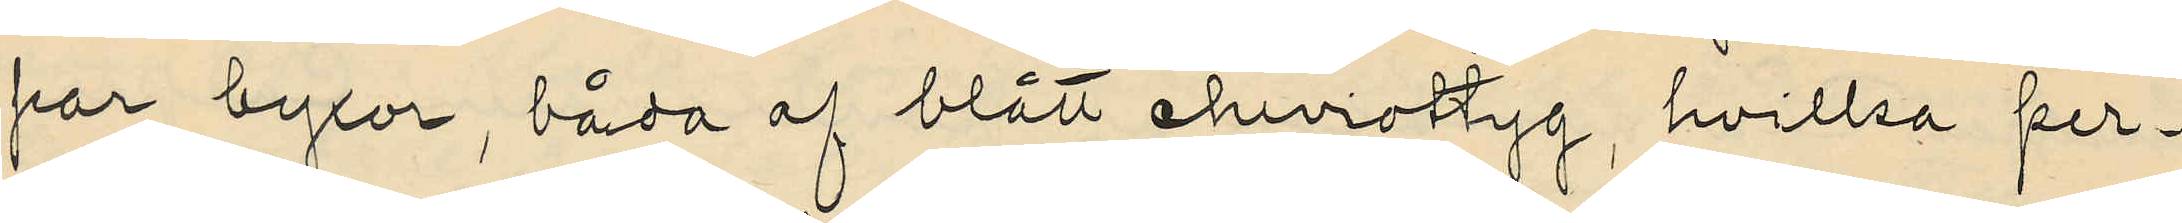par byxor , båda af blått cheviottyg , hvilka per¬
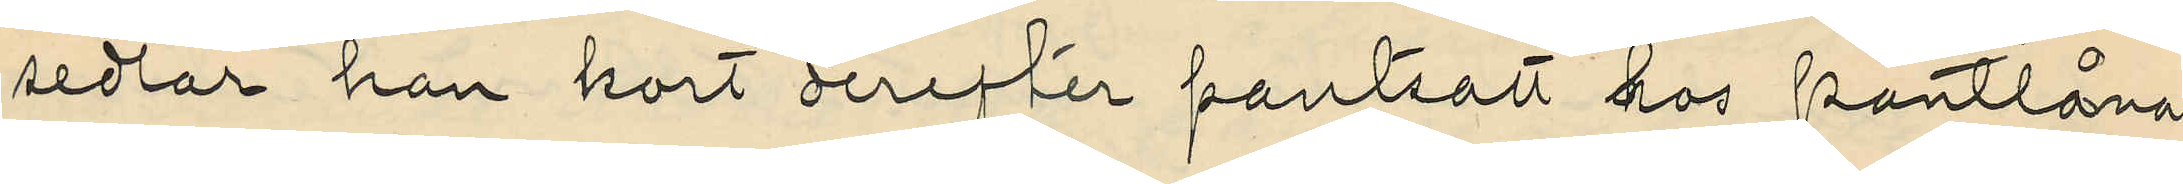sedlar han kort derefter pantsatt hos pantlåna¬
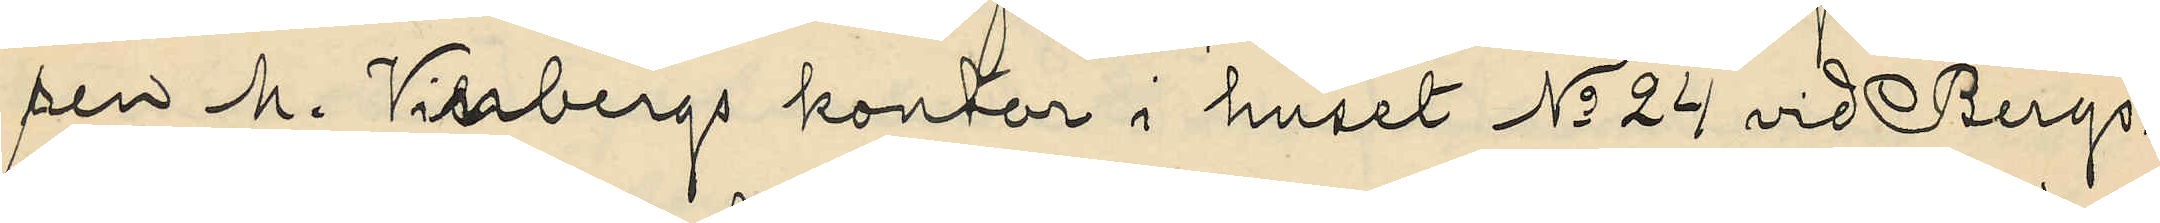ren M. Vinbergs kontor i huset No 24 vid Bergs¬
